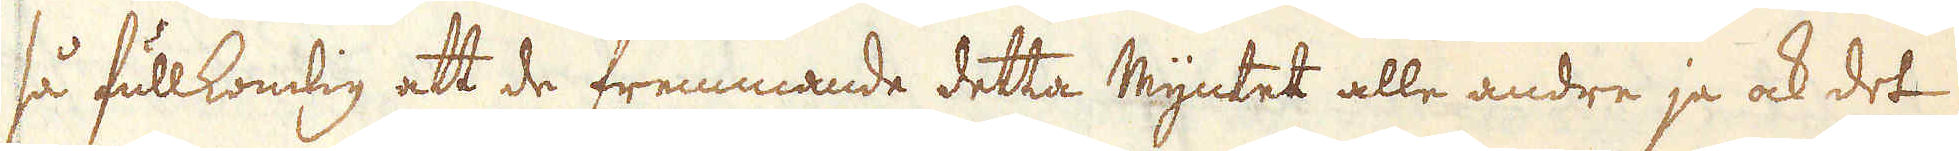så fullkomlig att de fremmande detta Myntet alle andre ja ock det
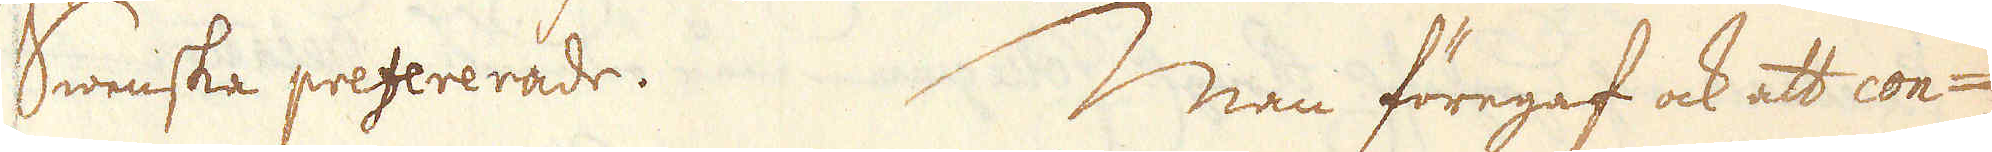Swenska prefererade. Man föregaf ock att con-
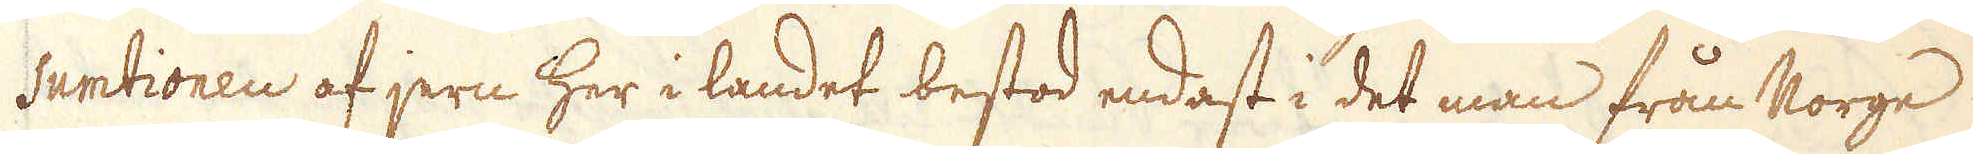sumtionen af jern her i landet bestod endest i det man från Norge
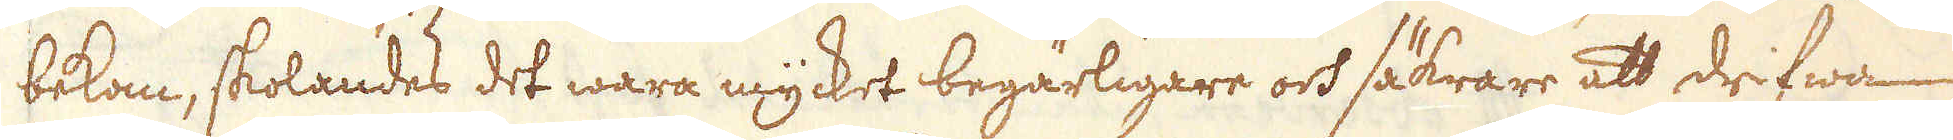bekom, skolandes det wara mycket begärligere och säkrare att drifwa
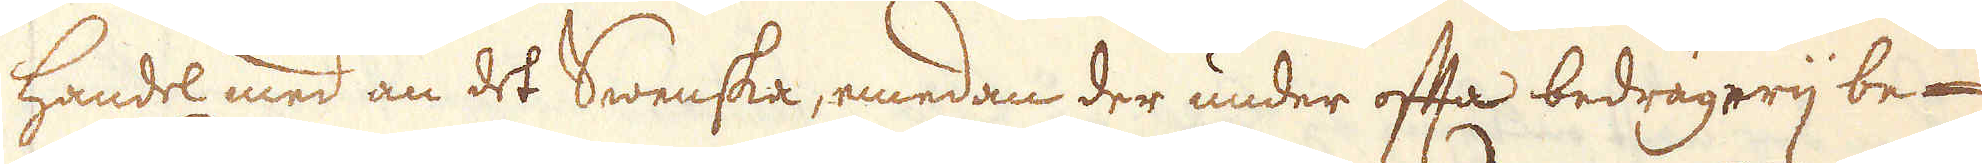handel med än det Swenska, emedan der änder ofta bedrägerij be-
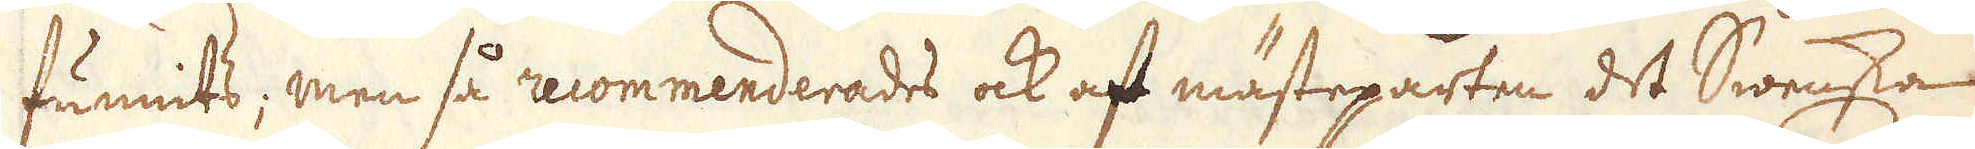funnits; men så recommenderade ock af mästeparten det Swenska
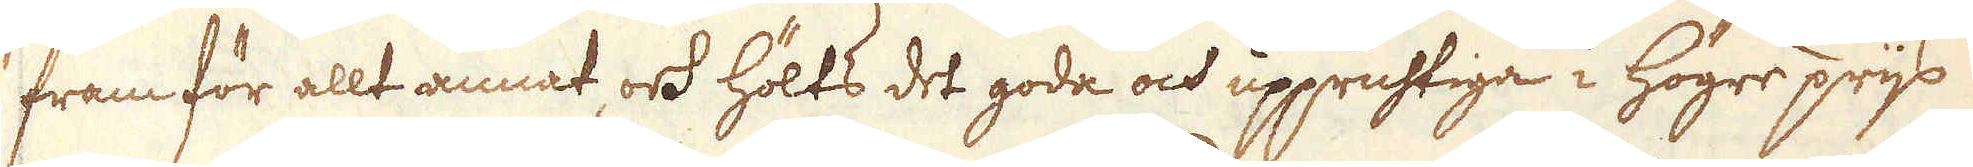framför allt annat, ock hölts det goda ock upprustiga i högre prijs
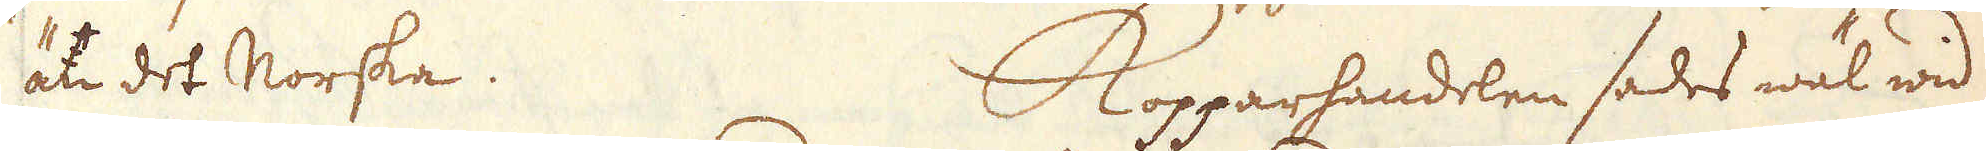än det Norska. Kopparhandlen aedes wäl wid
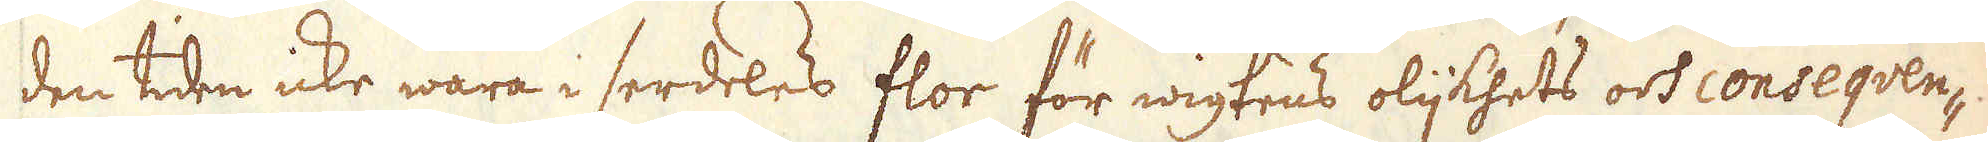den tiden icke wara i serdeles flor för wigtens olijkhets och consequen-
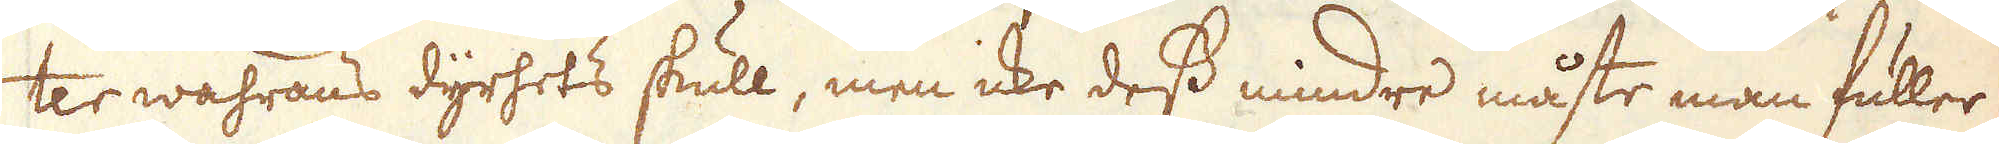ter wahrans dyrhets skull, men icke dess mindre måste man fuller
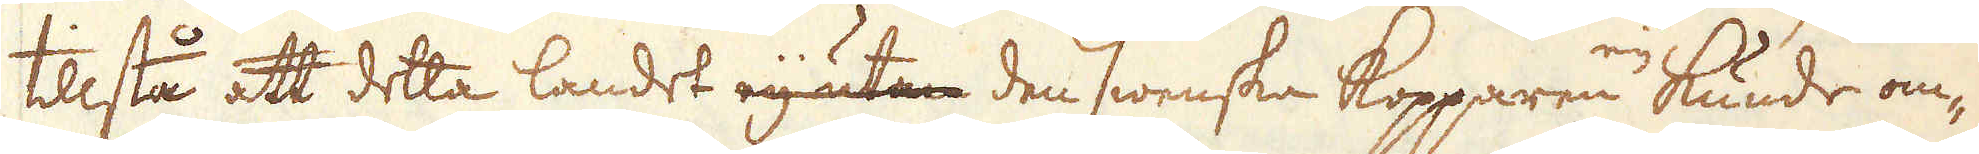tilstå at detta landet eij utan den swenska Kopparen eij kunde om-
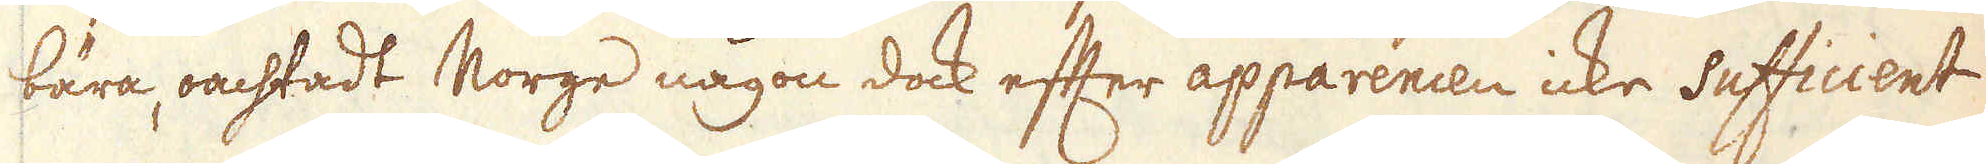bära, oachtadt Norge någon dock efter apparencen icke sufficient
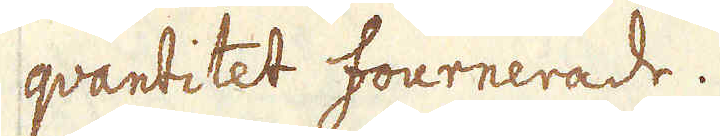qvantitet fournerade.
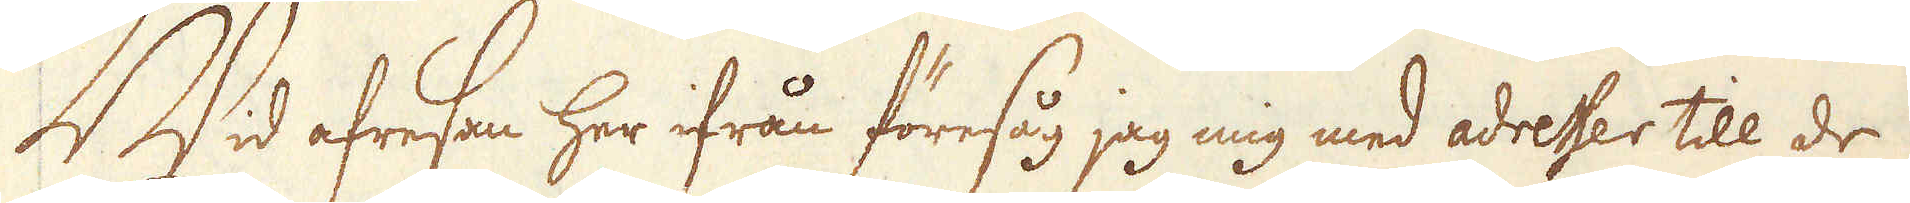Wid afresan her ifrån föresåg jag mig med adresser till de
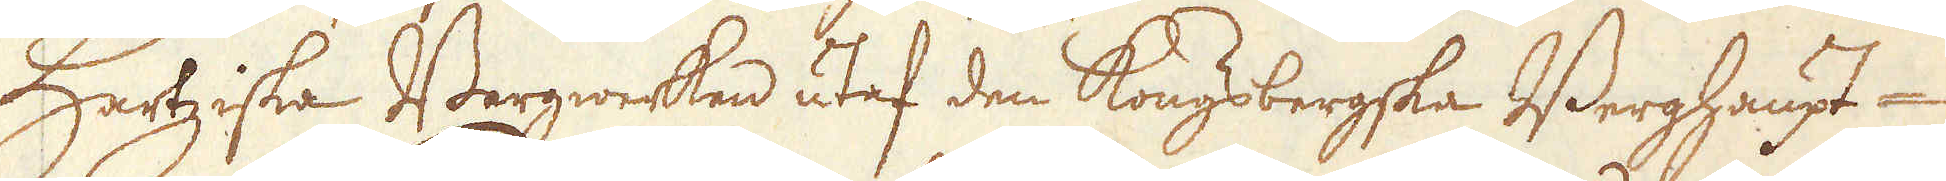Hartziska Bergwerken utaf den Kongsbergska Berghaupt-
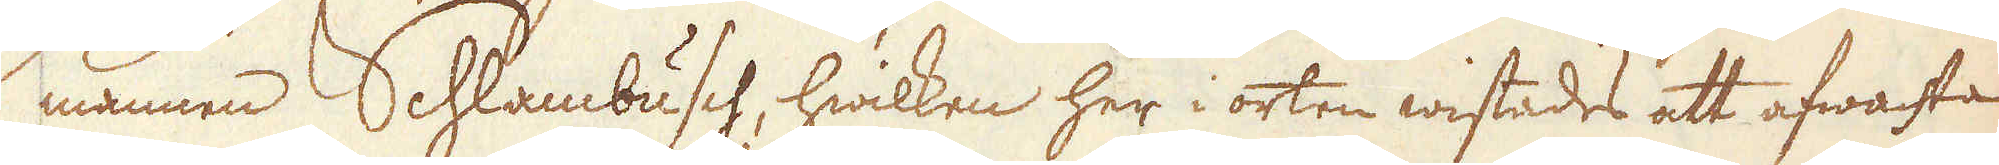mannen Schlambusch, hwilken her i orten wistades att afwaste
